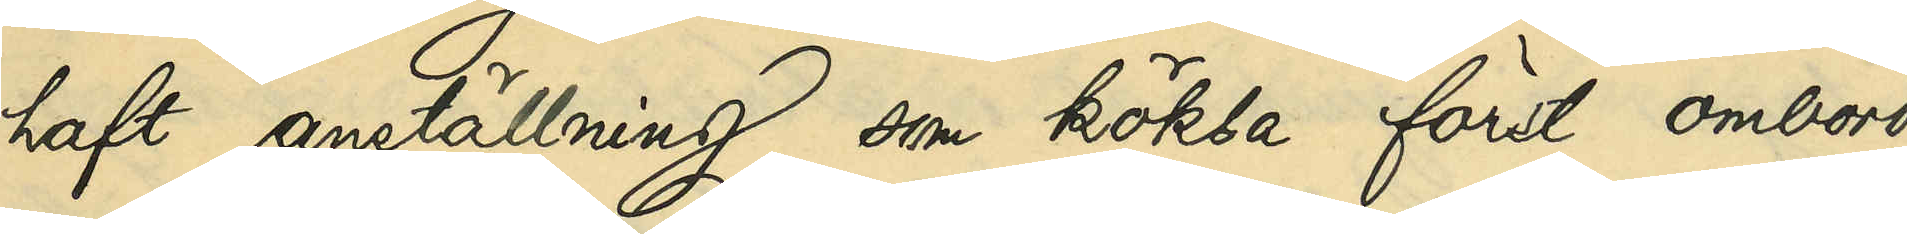haft anställning som köksa först ombord
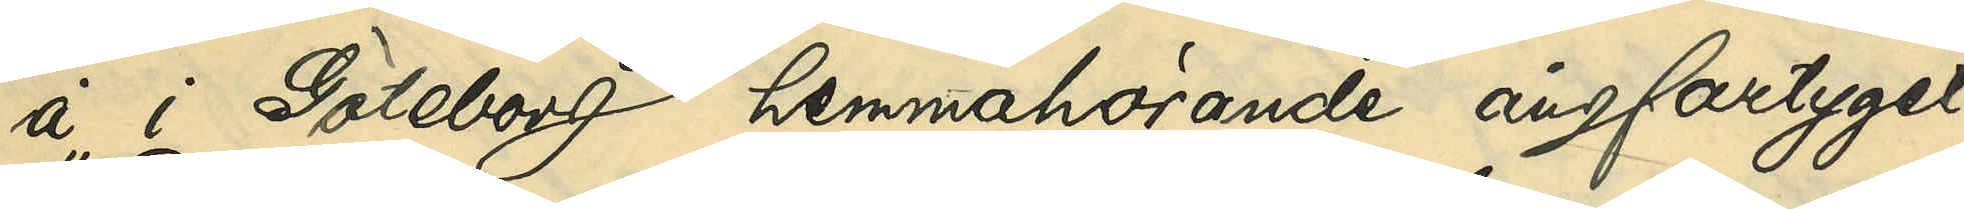å i Göteborg hemmahörande ångfartyget
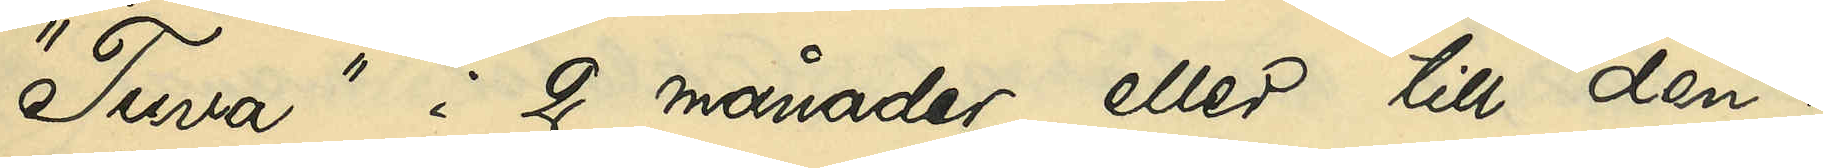"Tuva" i 2 månader eller till den 1
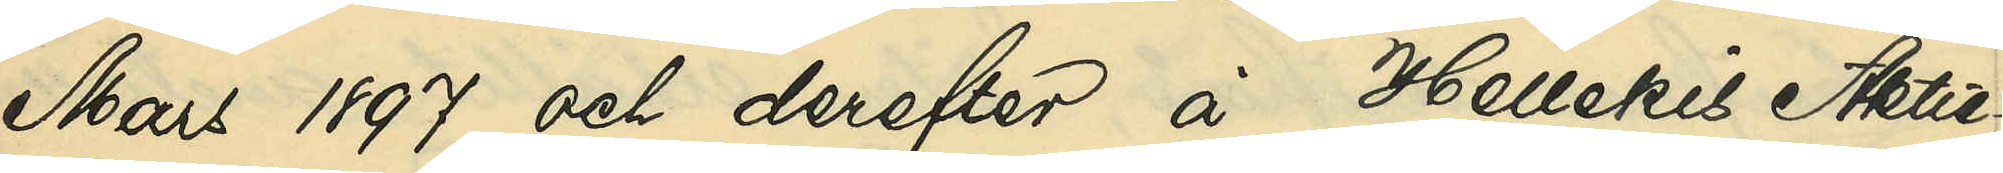Mars 1897 och derefter å Hellekis Aktie¬
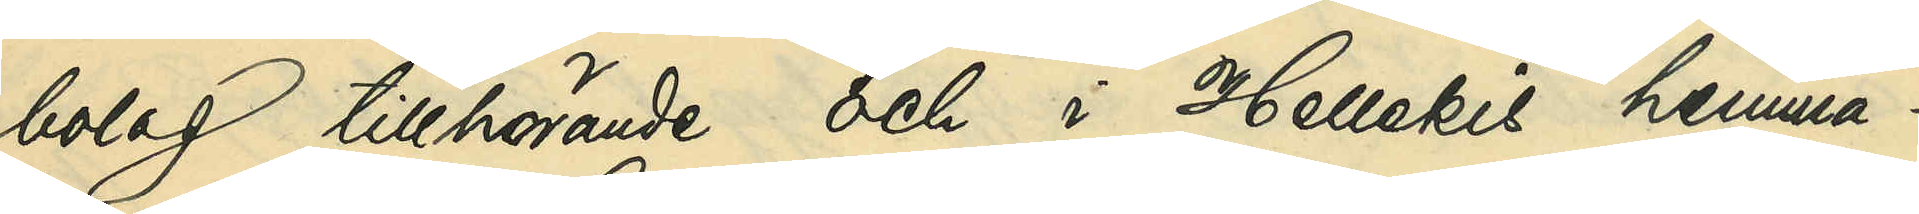bolag tillhörande och i Hellekis hemma¬
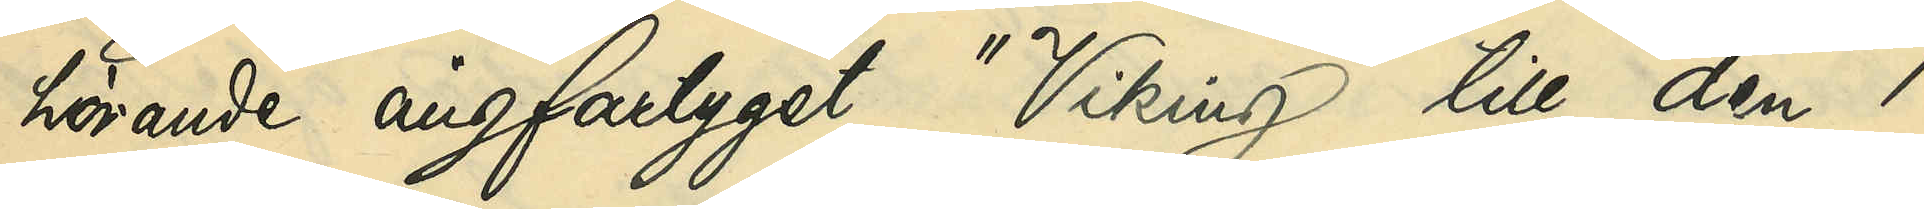hörande ångfartyget "Viking" till den 1
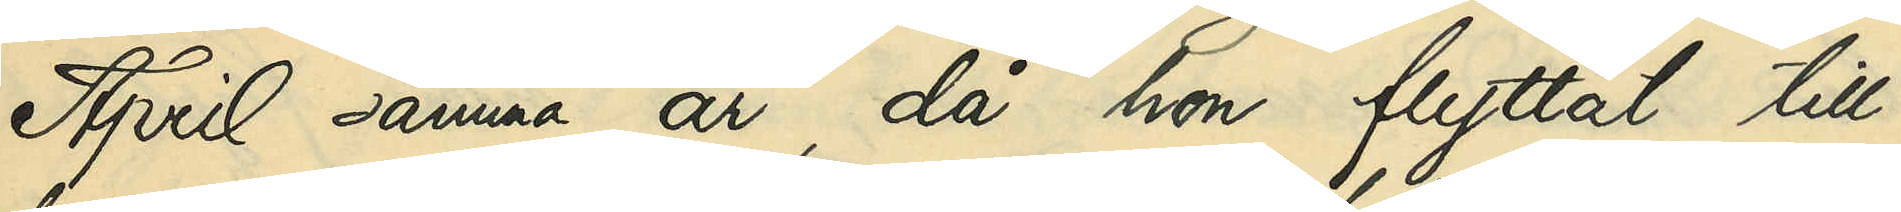April samma år, då hon flyttat till
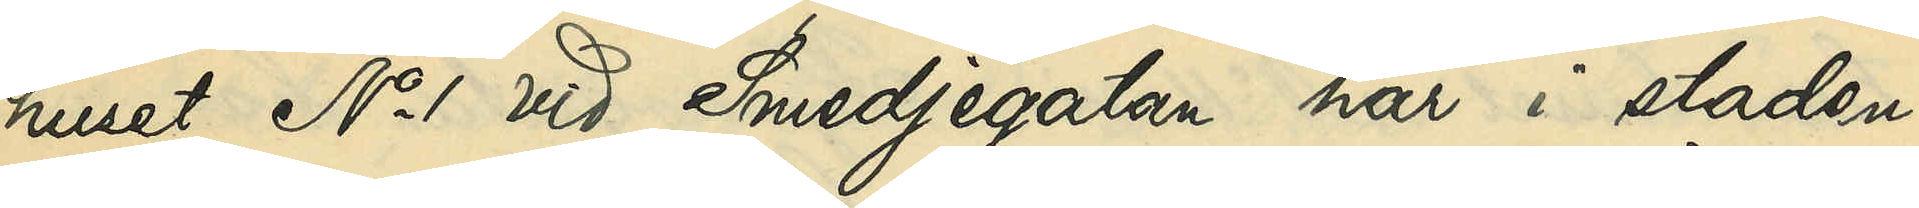huset No 1 vid Smedjegatan här i staden,
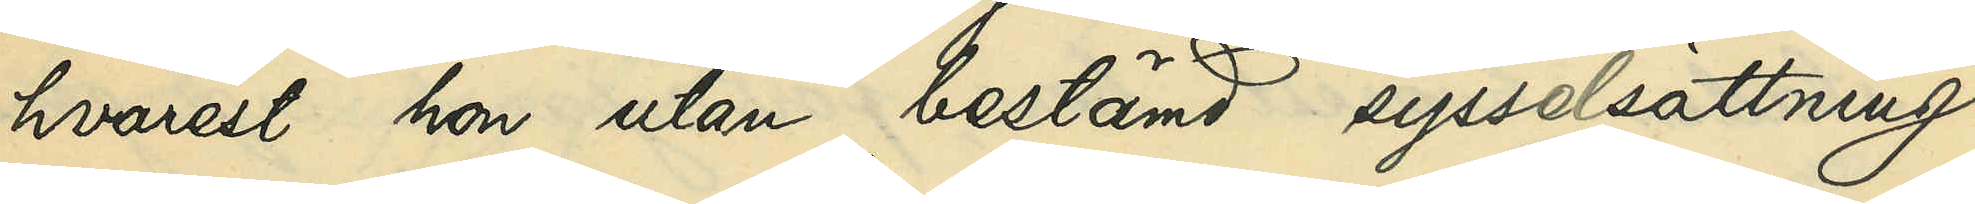hvarest hon utan bestämd sysselsättning
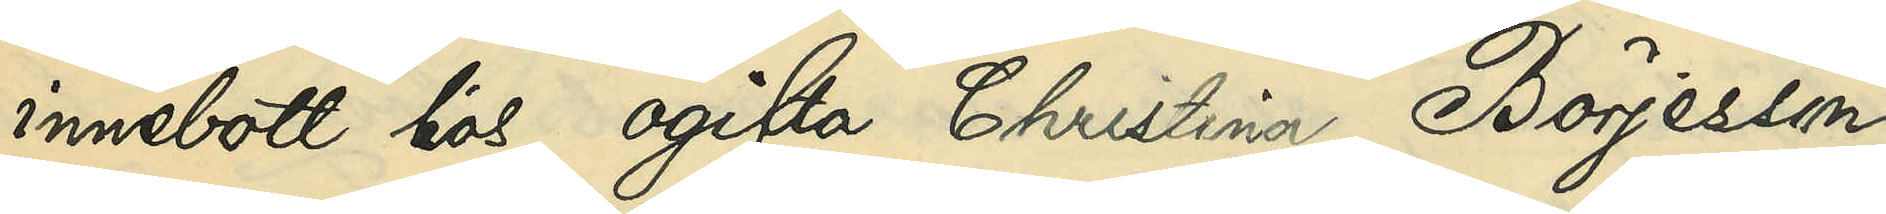innebott hos ogifta Christina Börjesson
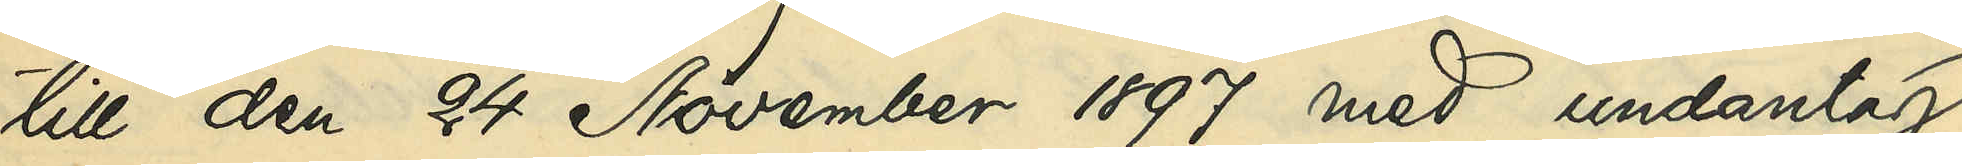till den 24 November 1897 med undantag
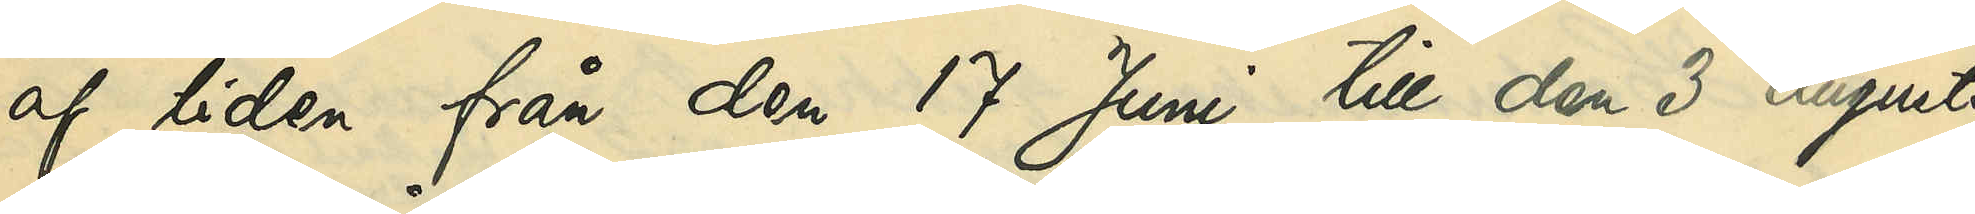af tiden från den 17 Juni till den 3 Augusti
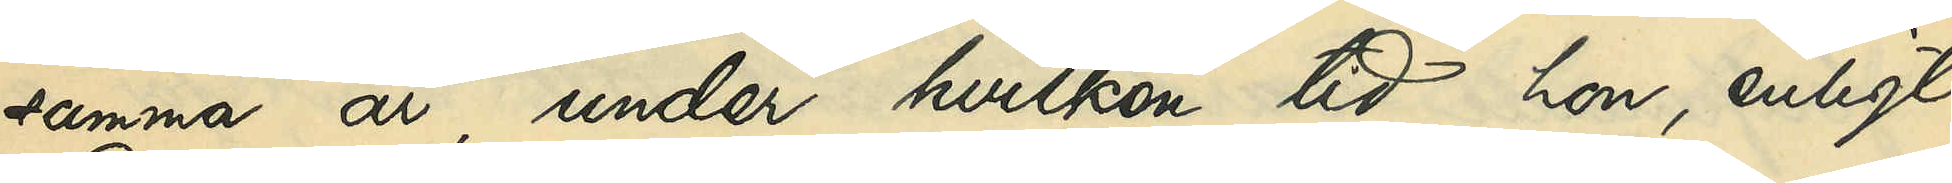samma år, under hvilken tid hon, enligt
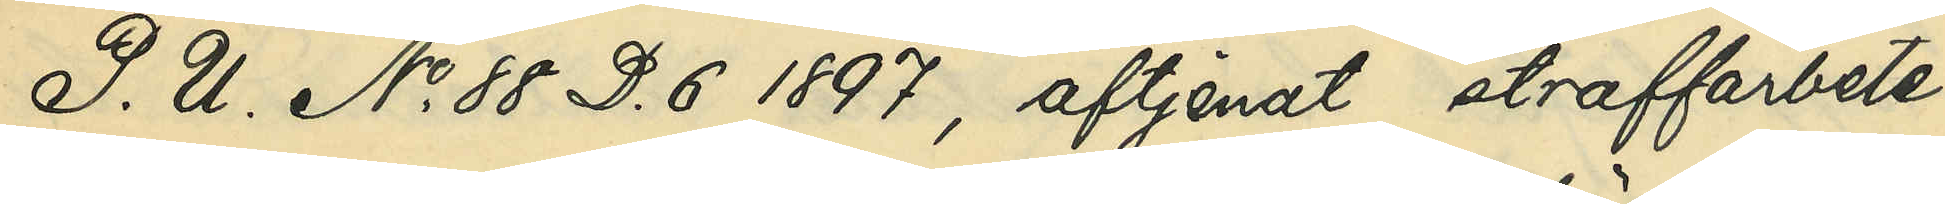P. U. No 88 D. 6 1897, aftjenat straffarbete
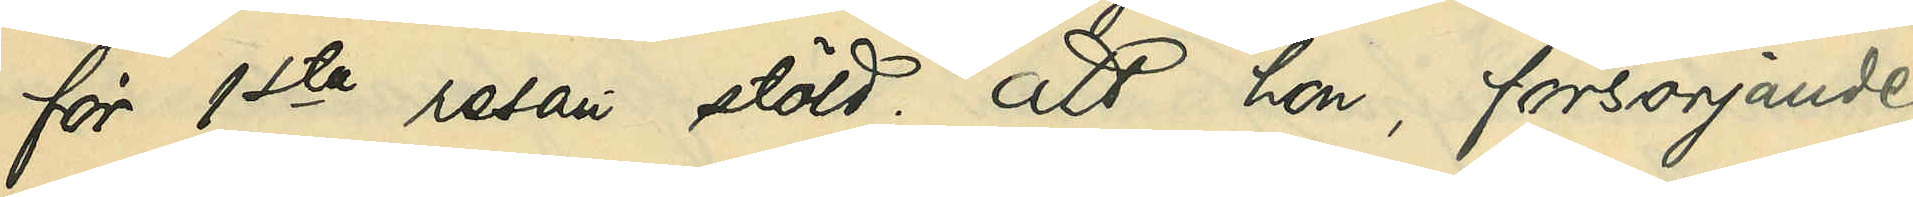för 1ste resan stöld; att hon, försörjande
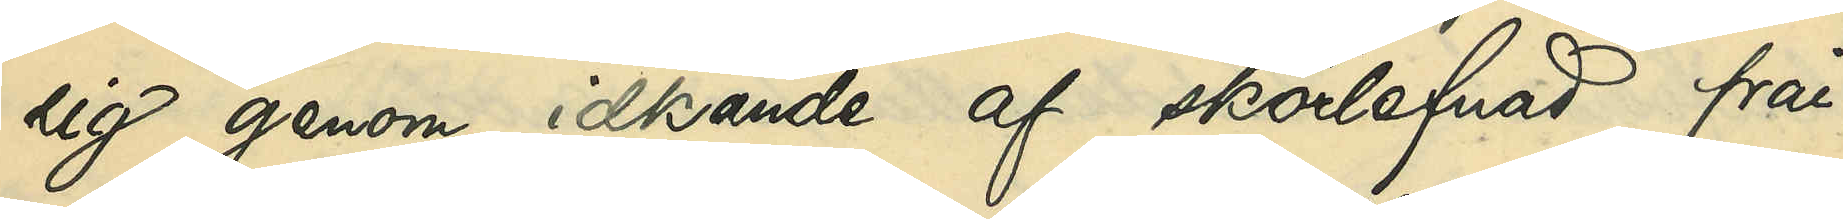sig genom idkande af skörlefnad, från
